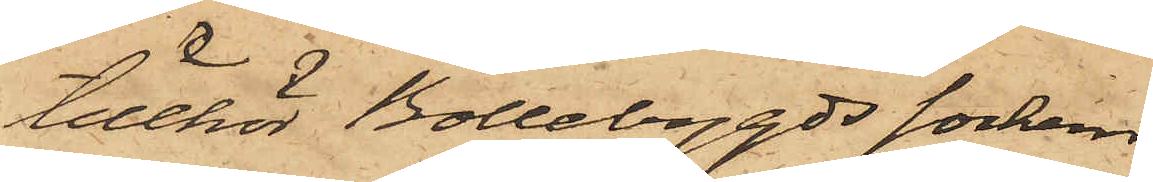tillhör Bollebygds socken
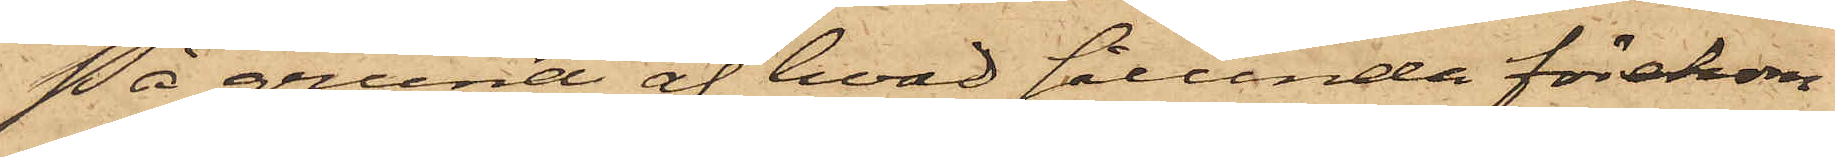På grund af hvad sålunda förekom¬
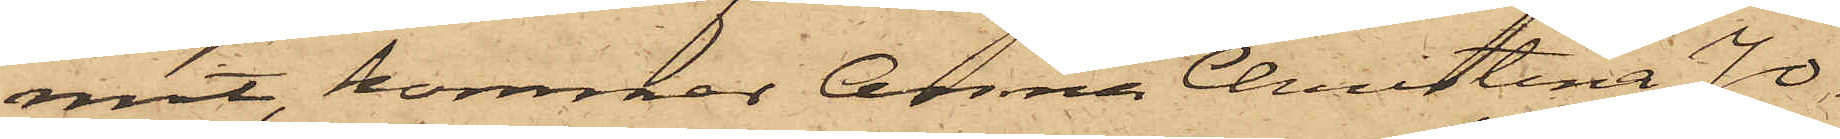mit, kommer Anna Christina Jo¬
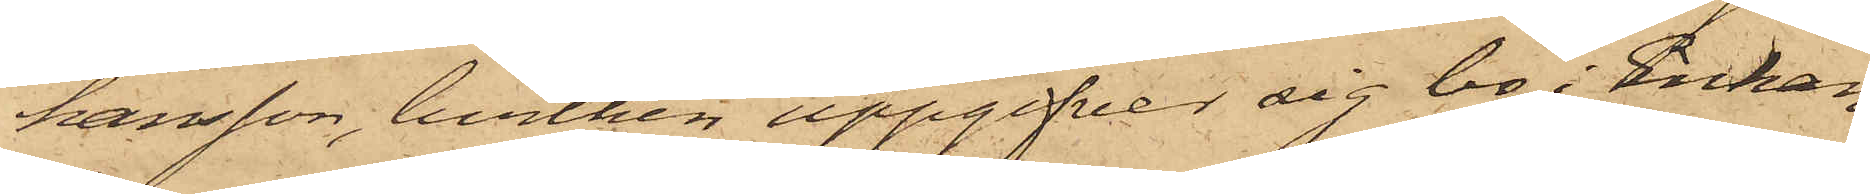hansson, hvilken uppgifver sig bo i Enkan
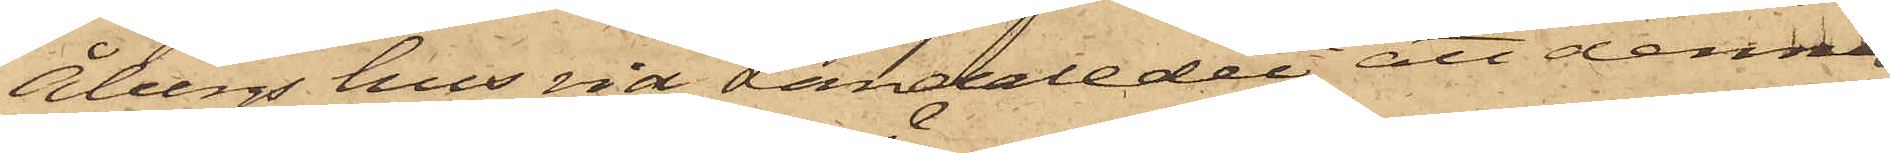Åbergs hus vid Landaledet, att denna
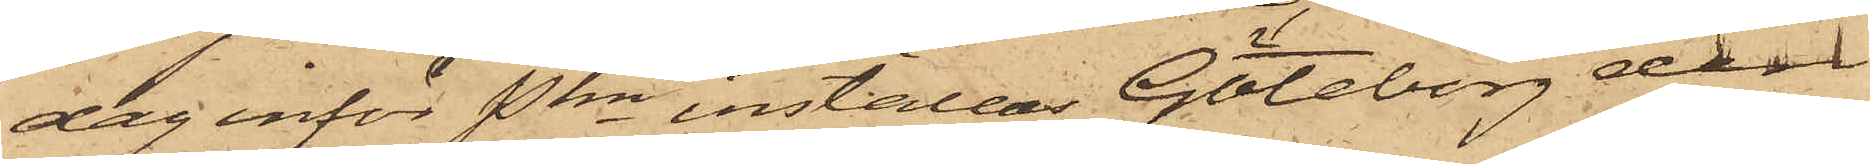dag inför Pkn inställas. Göteborg den
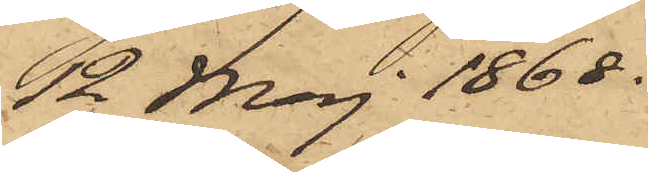12 Maj 1868.
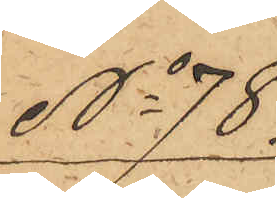No 78.
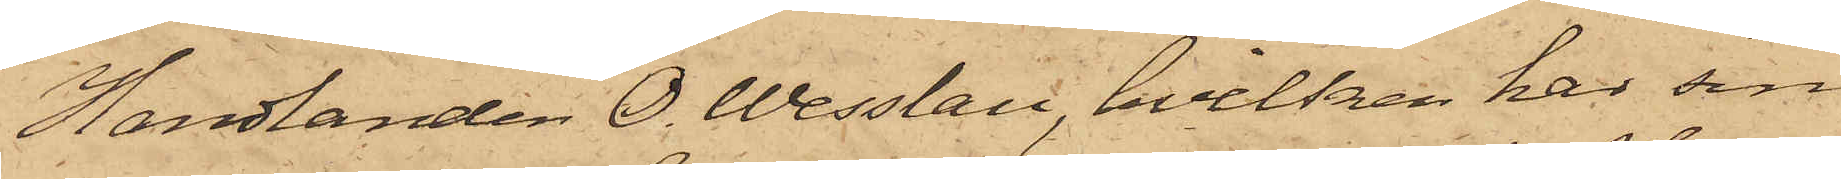Handlanden O. Wesslau, hvilken har sin
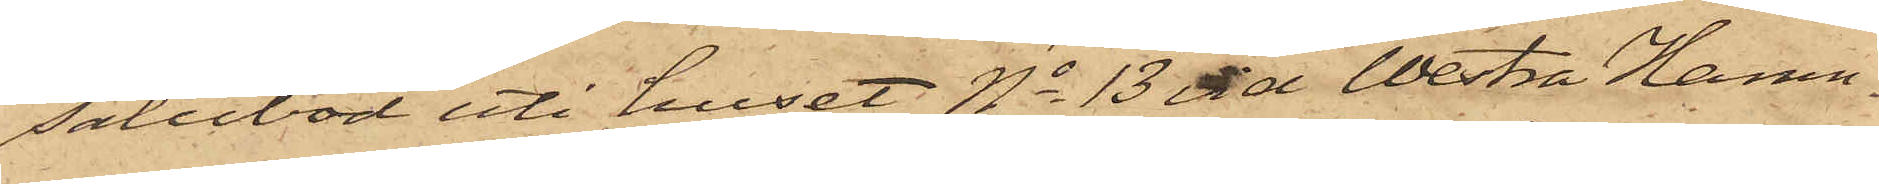salubod uti huset No 13 vid Westra Hamn¬
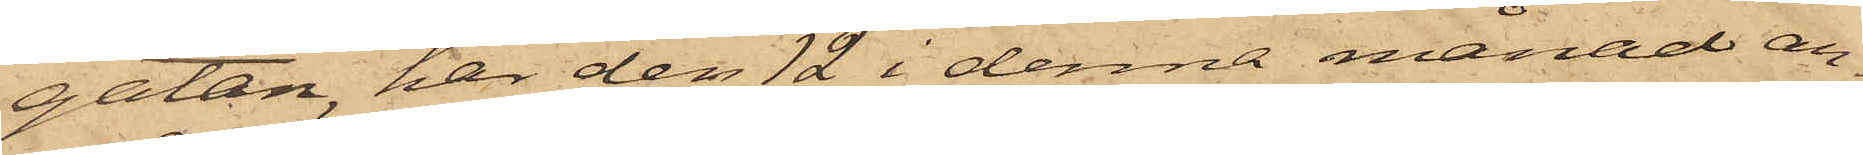gatan, har den 12 i denna månad an¬
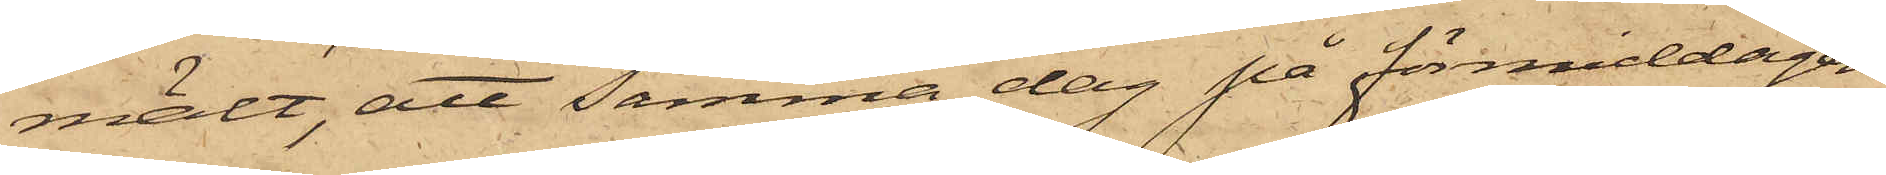mält, att samma dag på förmiddagen
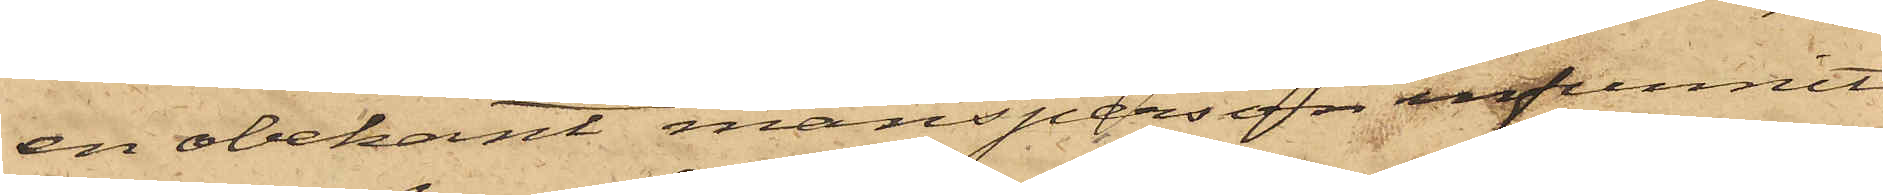en obekant mansperson infunnit
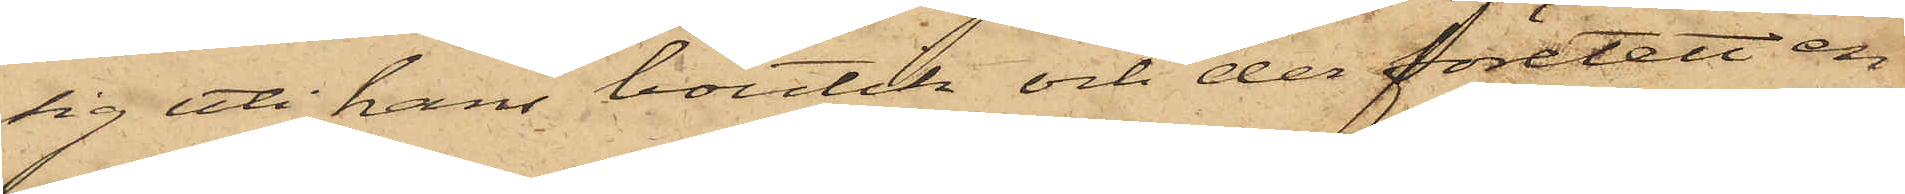sig uti hans boutik och der företett en
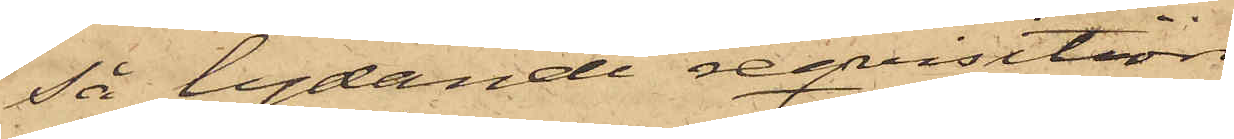så lydande reqvisition
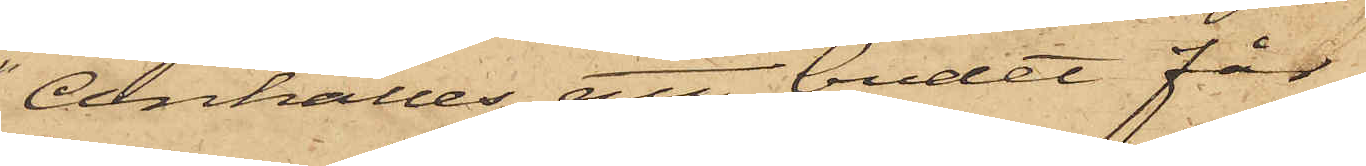"Anhålles att budet får
